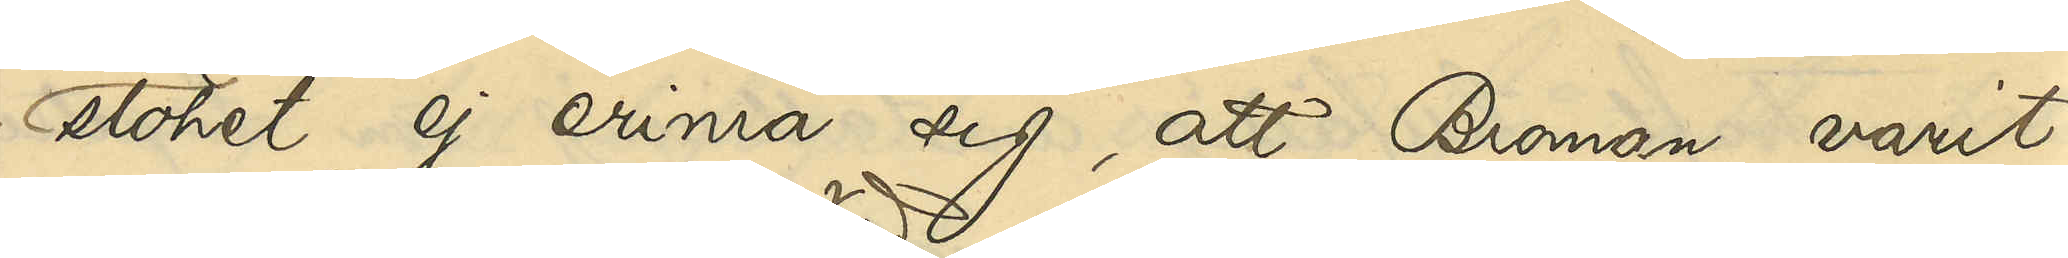slöhet ej erinra sig, att Broman varit 
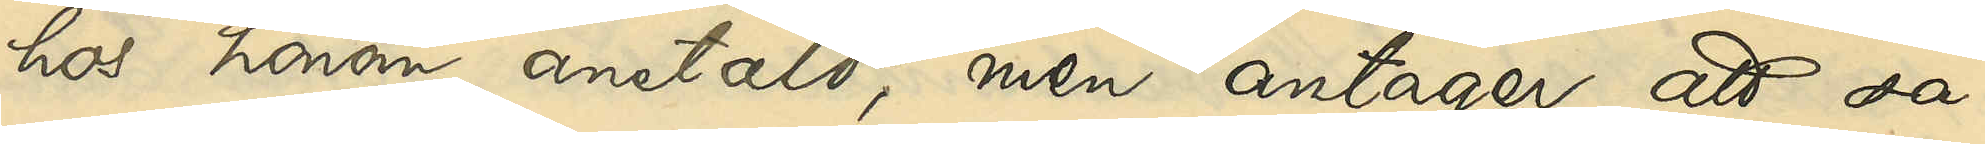hos honom anstäld, men antager, att så
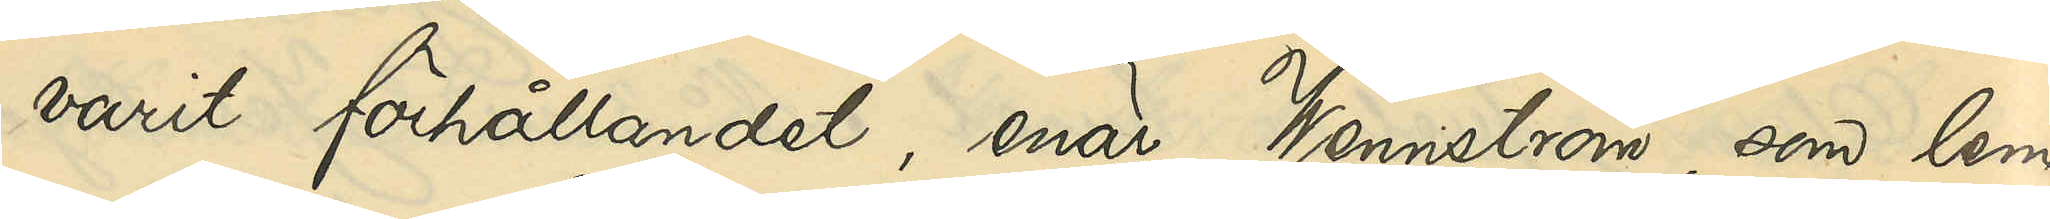varit förhållandet, enär Wennström, som lem¬
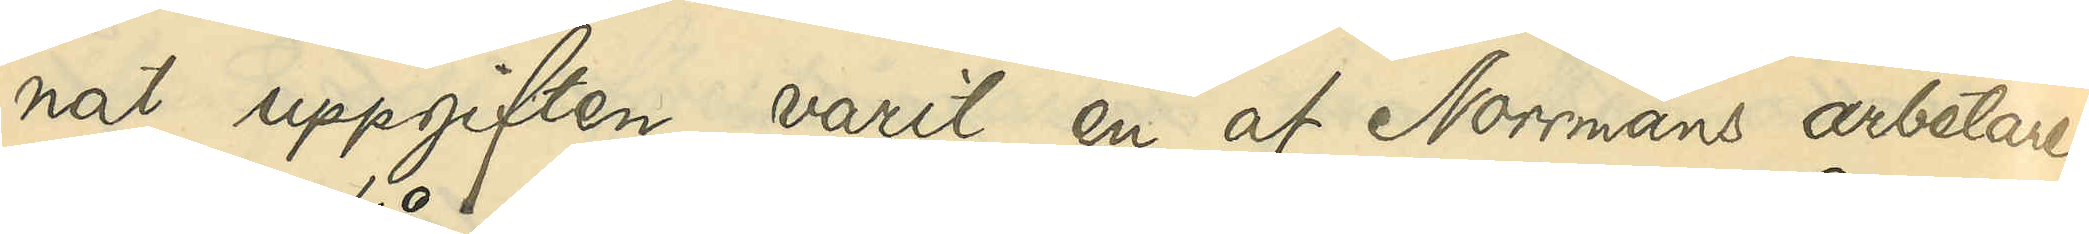nat uppgiften, varit en af Norrmans arbetare.
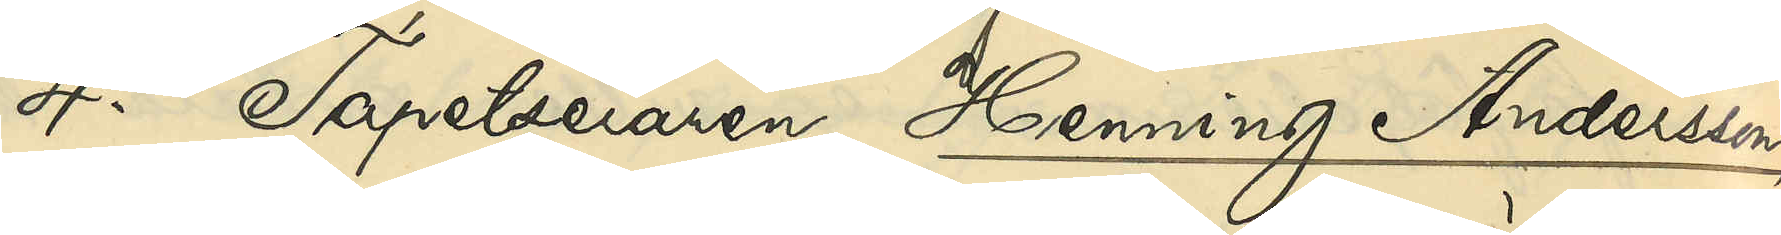4o Tapetseraren Henning Andersson
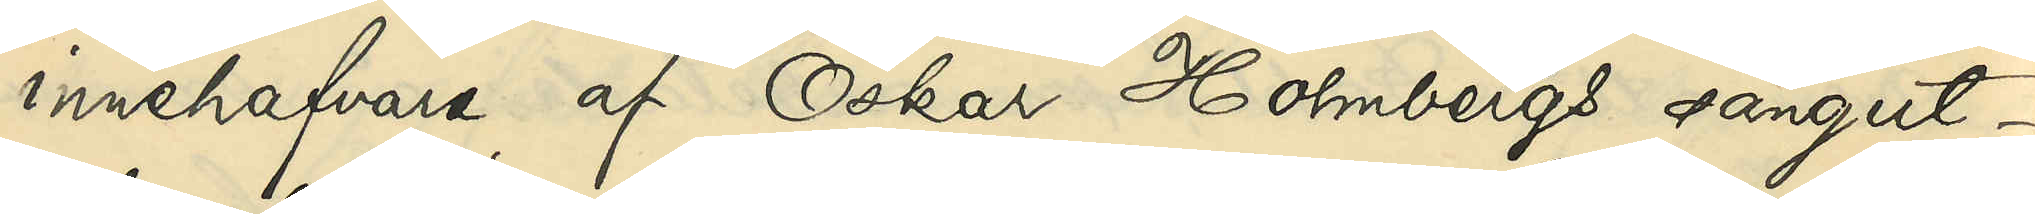innehafvare af Oskar Holmbergs sängut¬
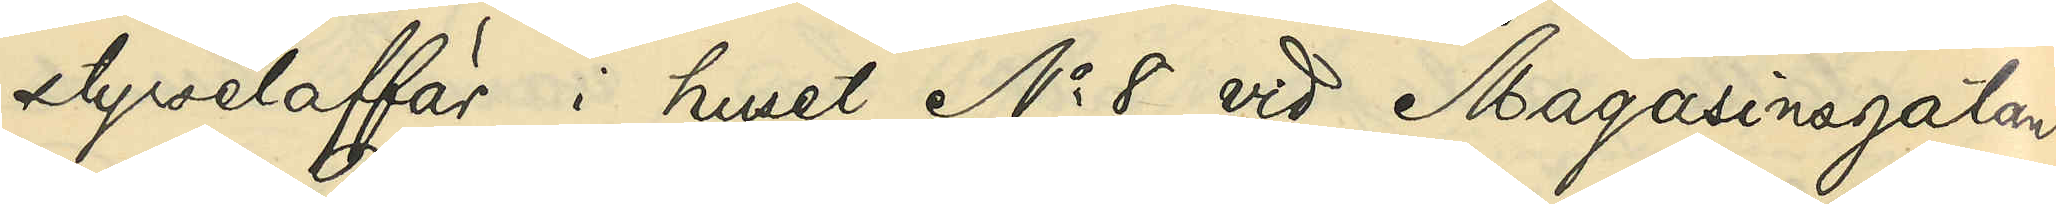styrselaffär i huset No 8 vid Magasinsgatan:
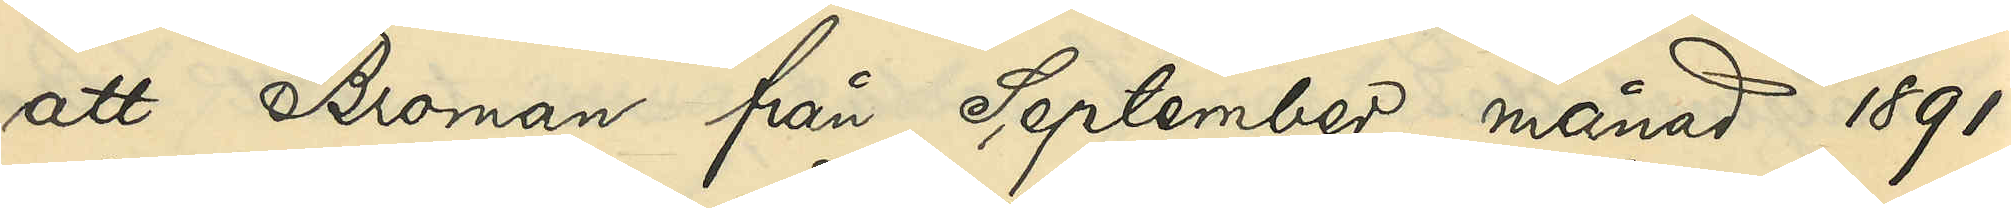att Broman från September månad 1891
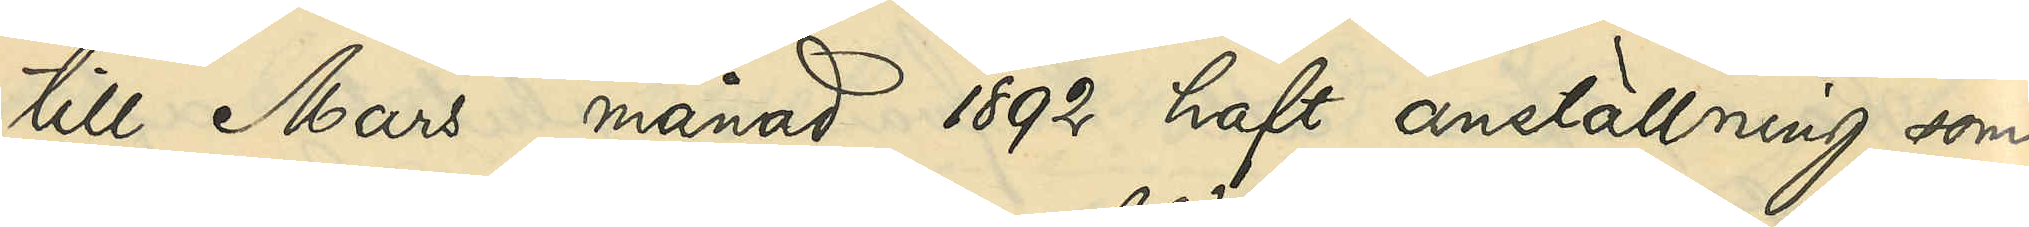till Mars månad 1892 haft anställning som
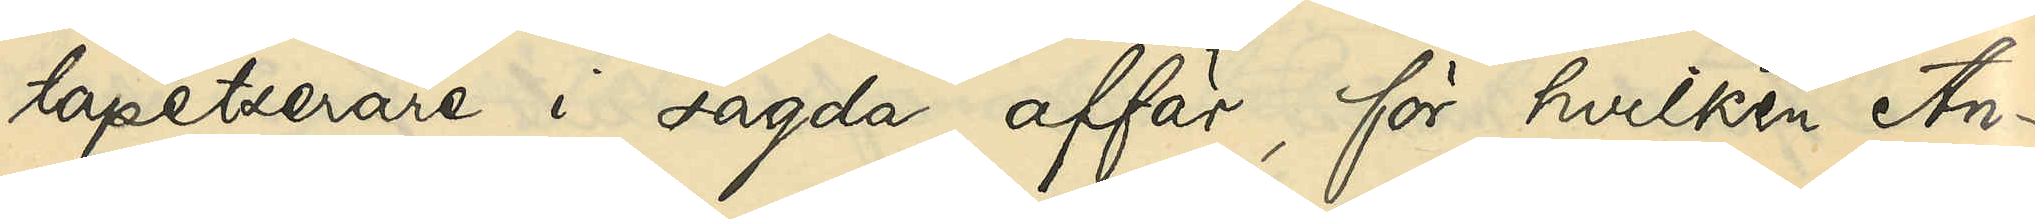tapetserare i sagda affär, för hvilken An¬
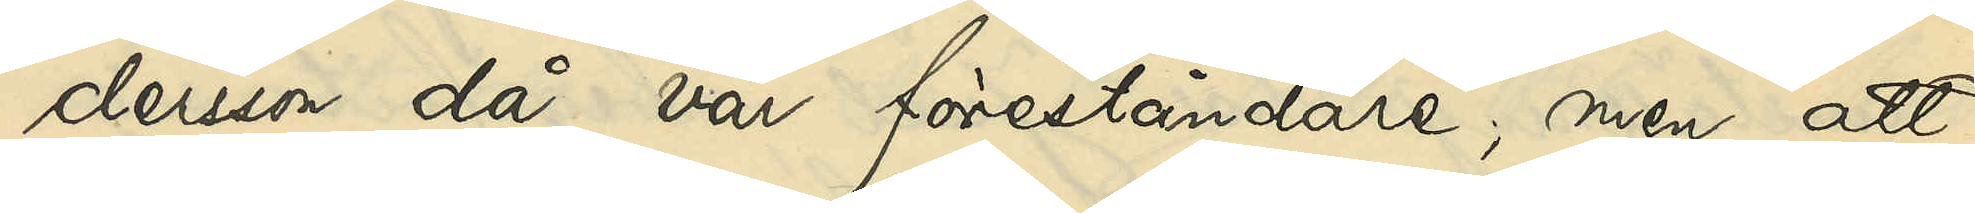dersson då var föreståndare, men att
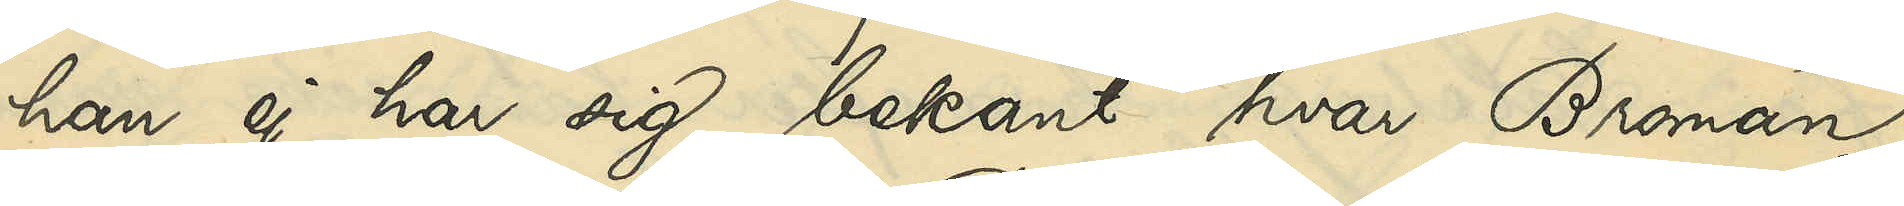han ej har sig bekant hvar Broman
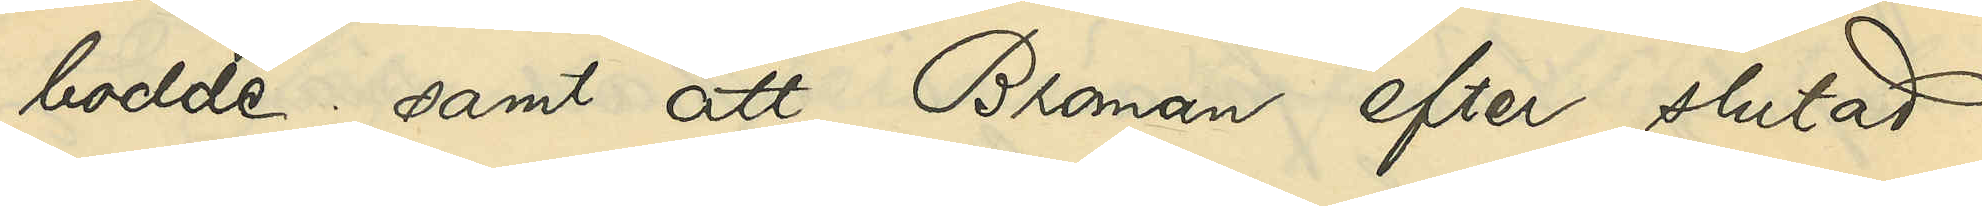bodde; samt att Broman efter slutad
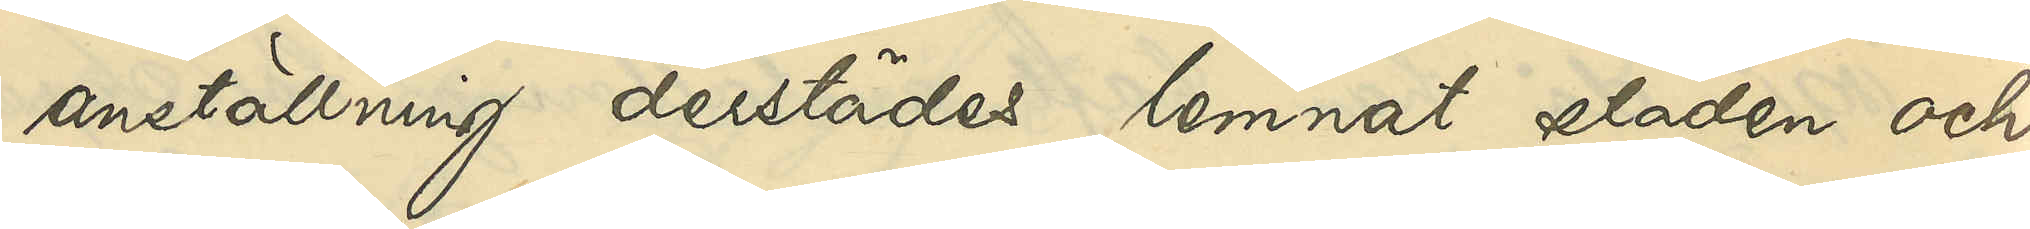anställning lemnat staden och
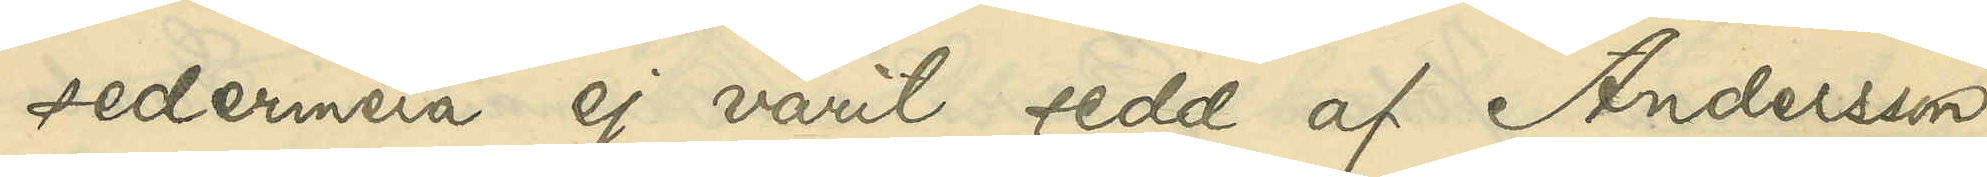sedermera ej varit sedd af Andersson
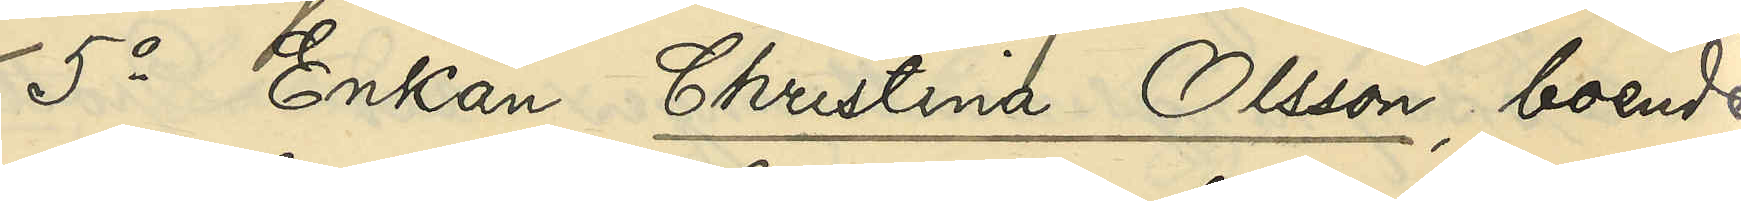5o Enkan Christina Olsson, boende
